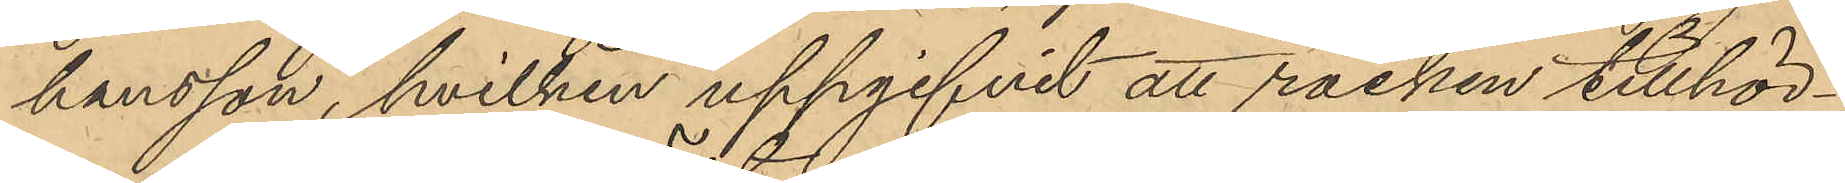hansson, hvilken uppgifvit att rocken tillhör¬
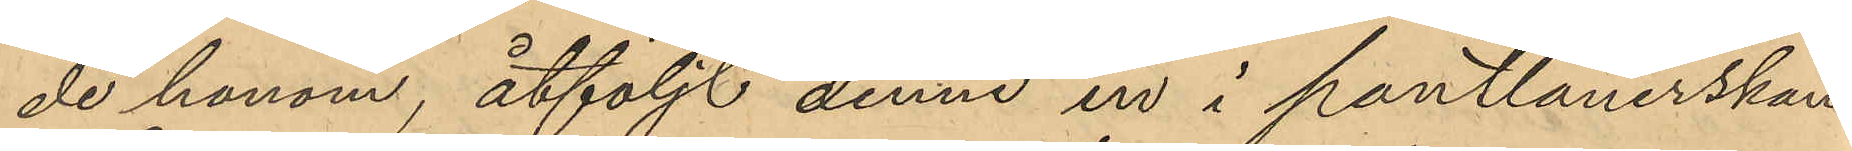de honom, åtföljt denne in i pantlånerskan
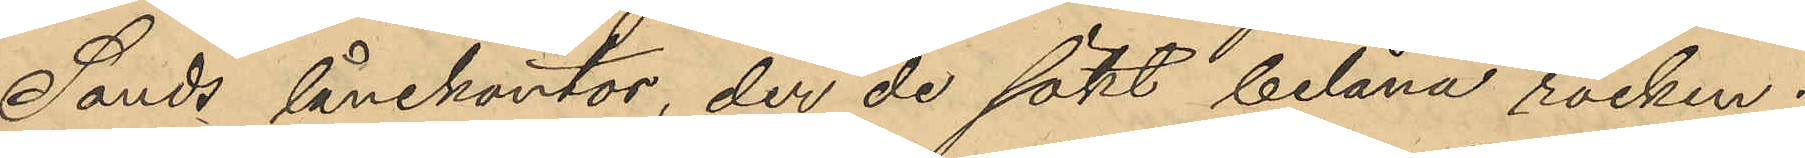Sands lånekontor, der de sökt belåna rocken;
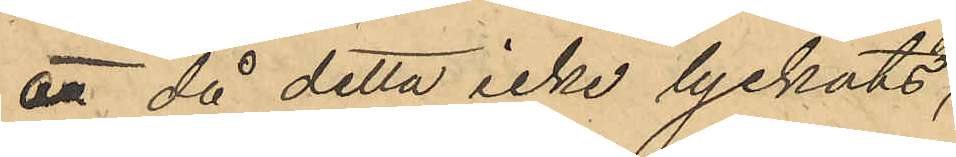att då detta icke lyckats,
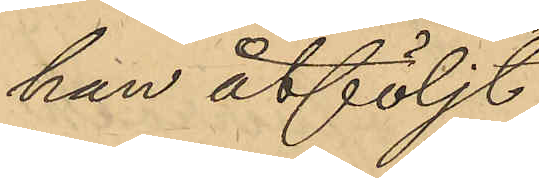han åtföljt
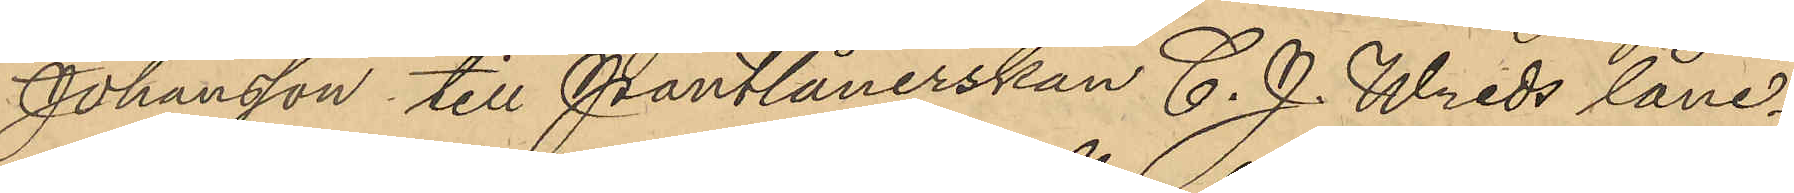Johansson till Pantlånerskan C. J. Wreds låne¬
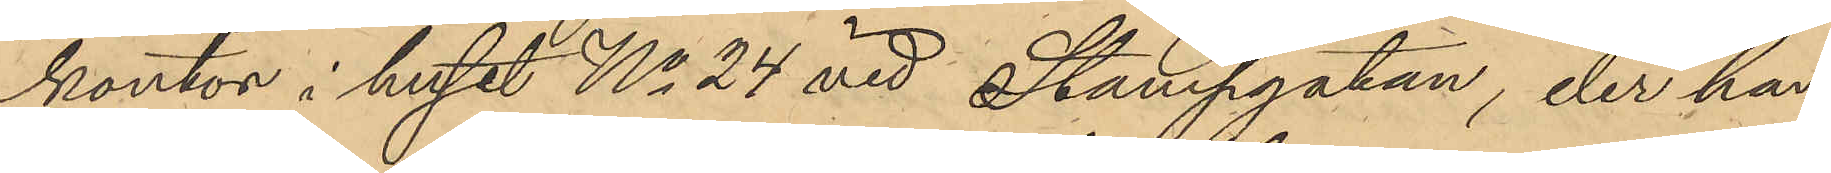kontor i huset No 24 vid Stampgatan, der han
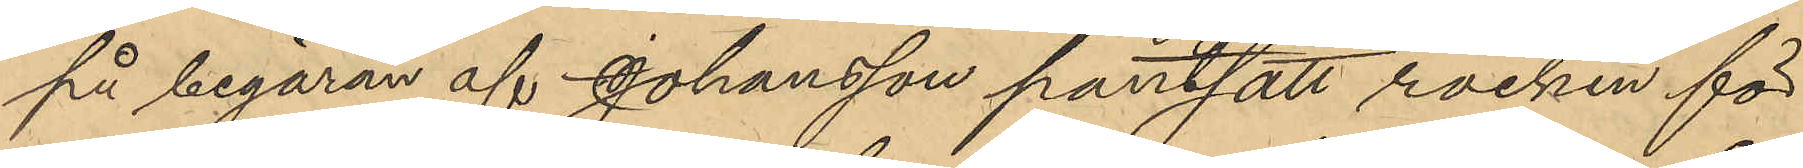på begäran af Johansson pantsatt rocken för
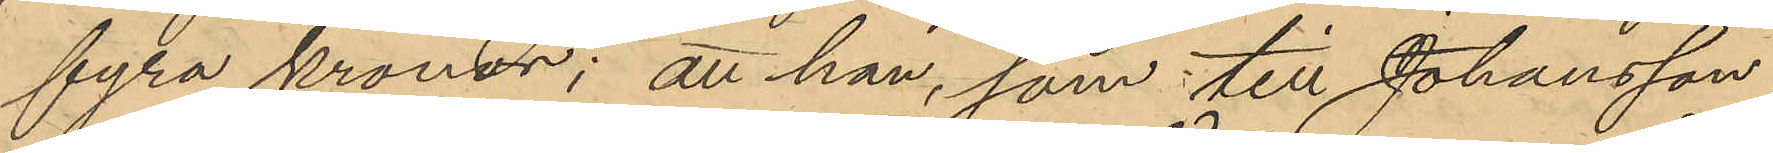fyra kronor; att han, som till Johansson
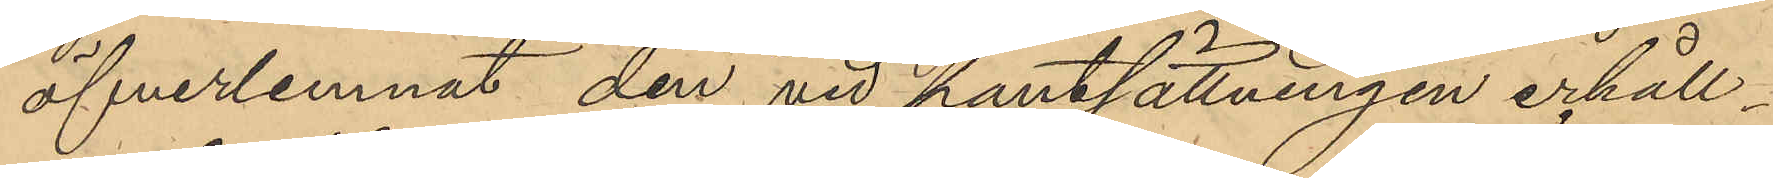öfverlemnat den vid pantsättningen erhåll¬
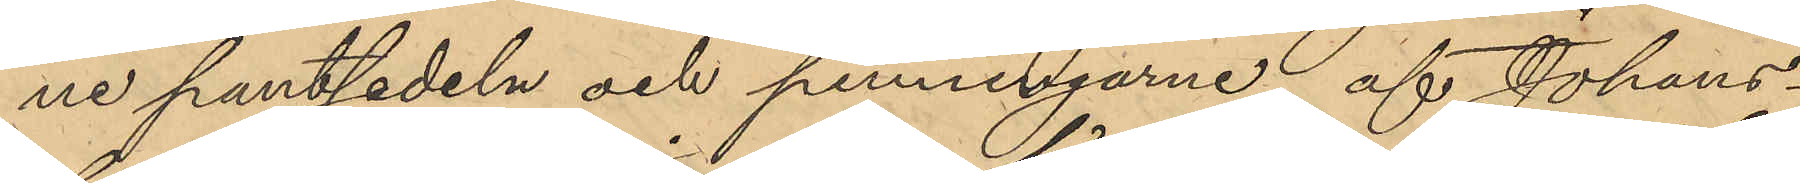ne pantsedeln och penningarne, af Johans¬
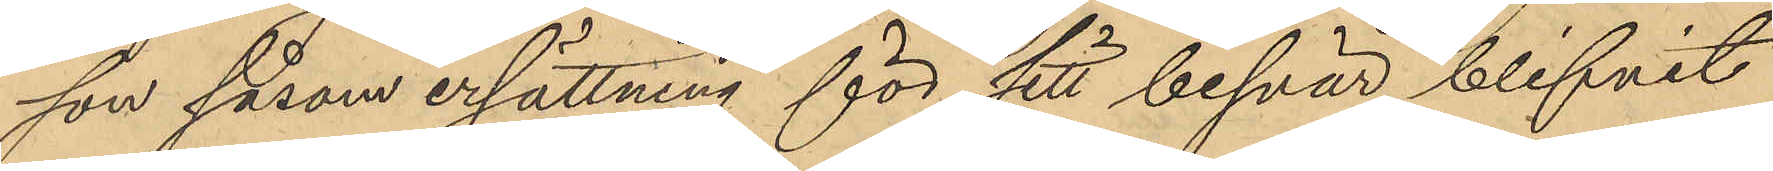son såsom ersättning för sitt besvär blifvit
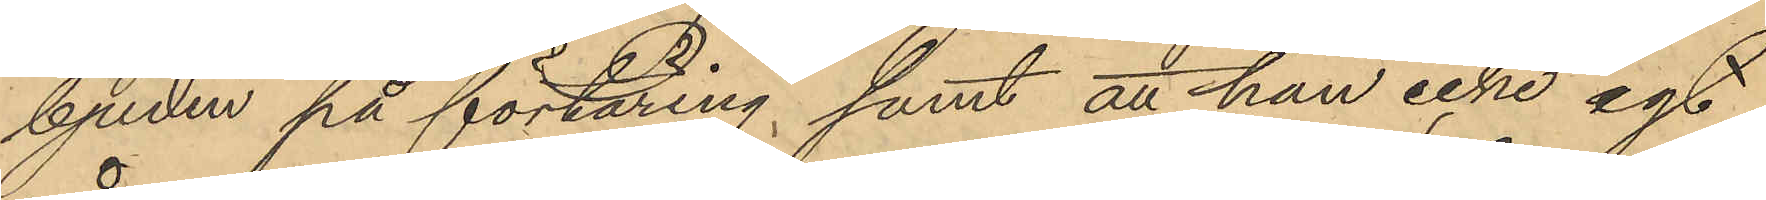bjuden på förtäring; samt att han icke egt
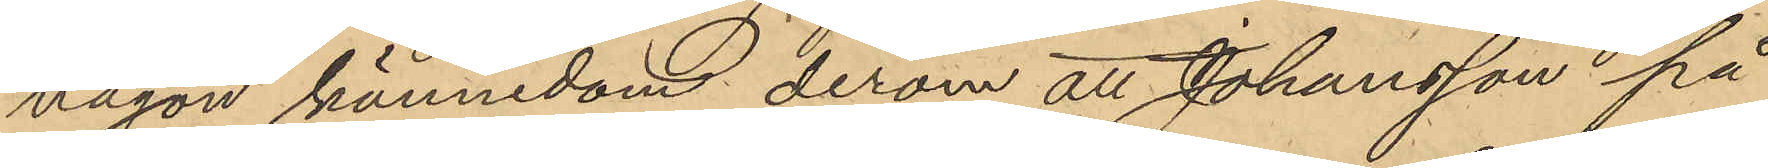någon kännedom derom att Johansson på
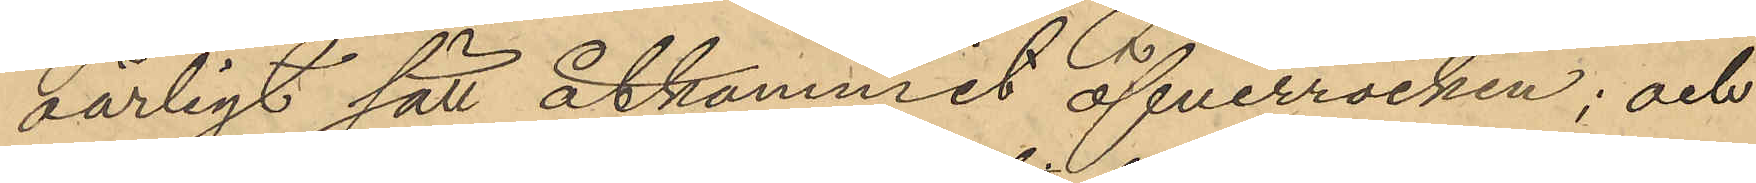oärligt sätt åtkommit öfverrocken; och
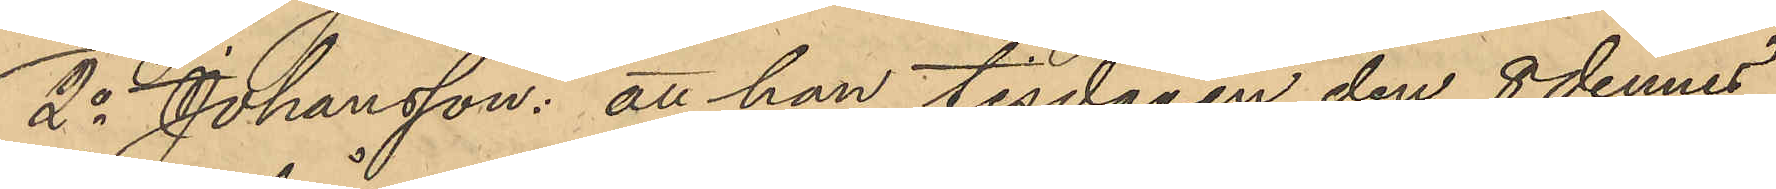2o Johansson: att han tisdagen den 8 dennes
